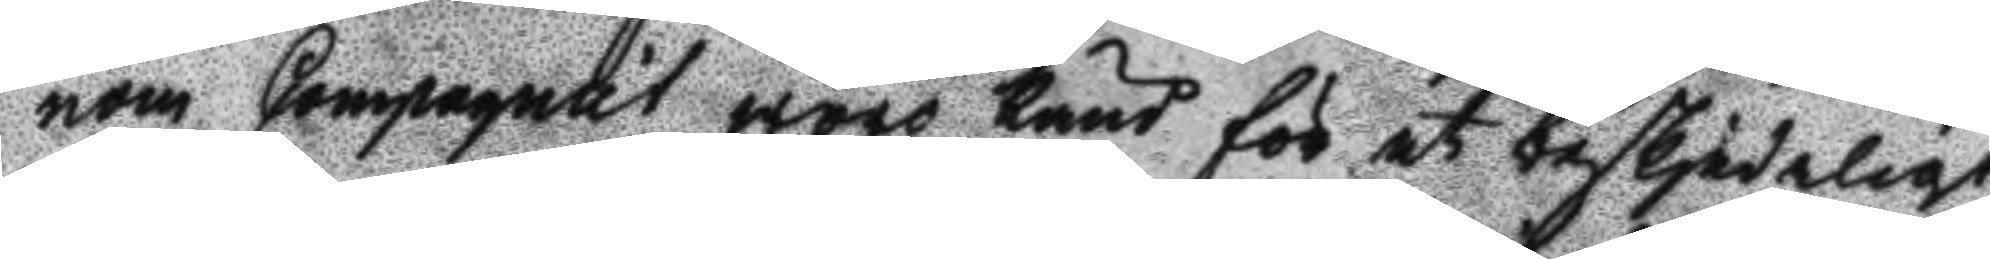nom Compagniet woro känd för et beskjedeligt
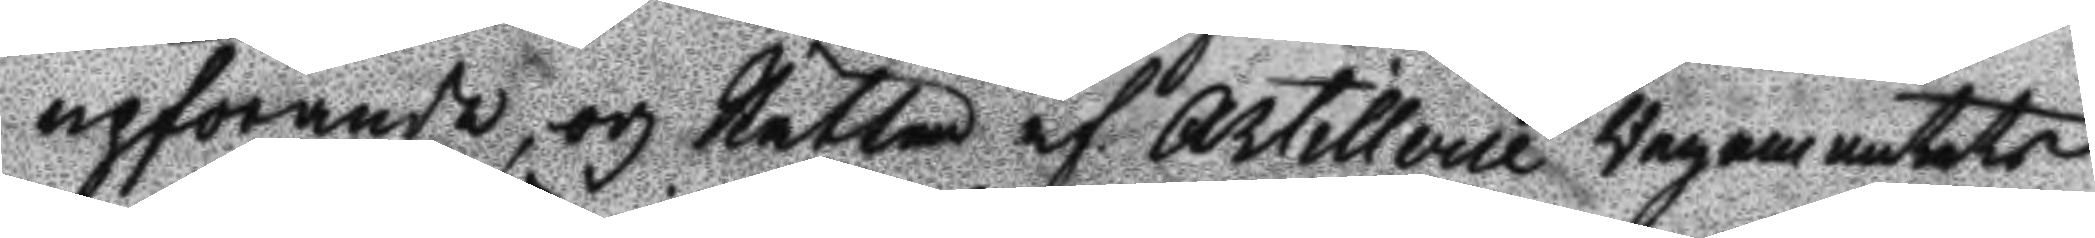upförande, och Rätten af Artillerie Regementets
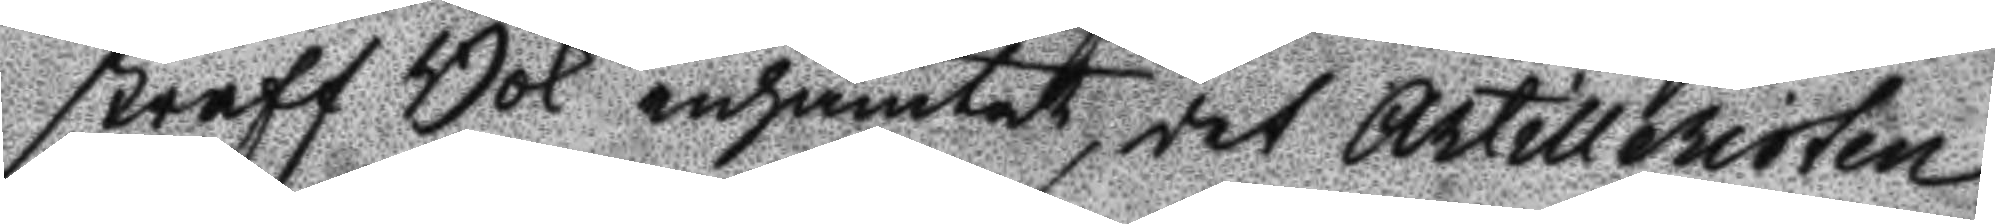straff Bok inhämtat, det Artilleristen
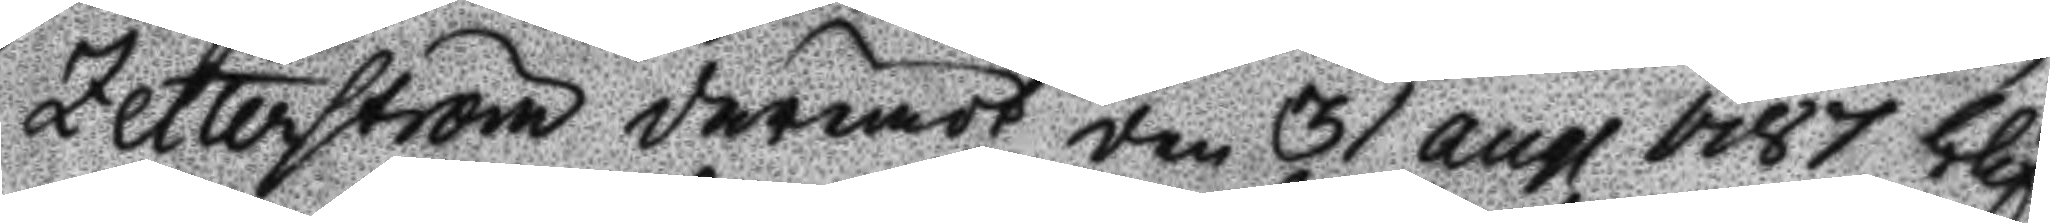Zetterström deremot den 31 aug 1787 blif¬
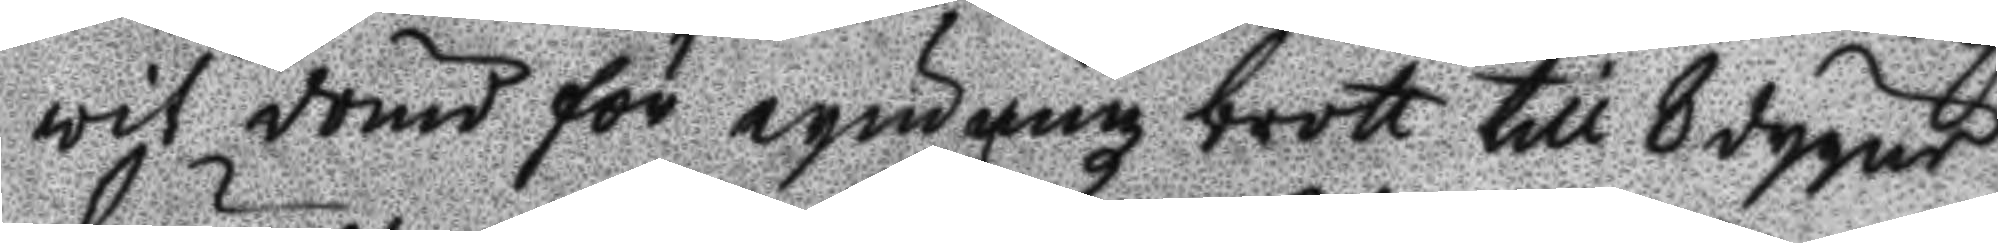wit dömd för rymningz brott till 8 dagars
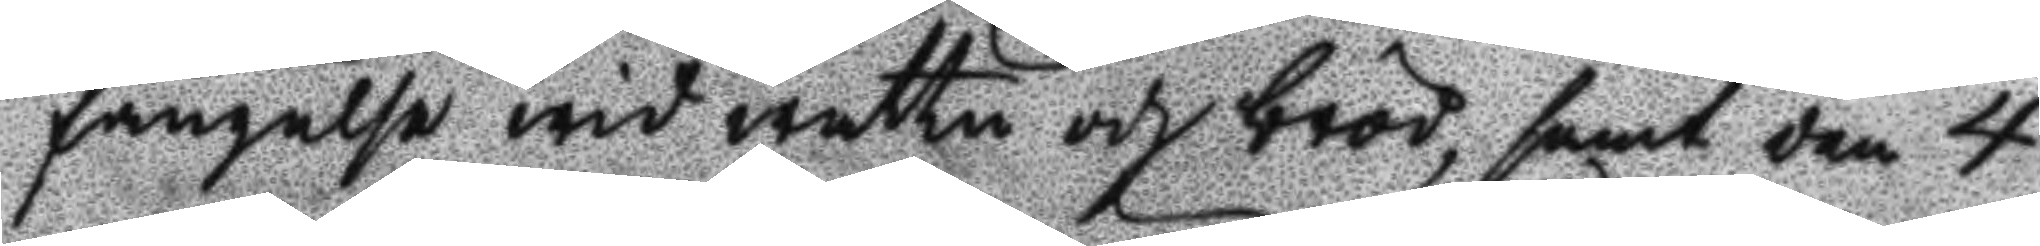fängelse wid wattn och bröd, samt den 4
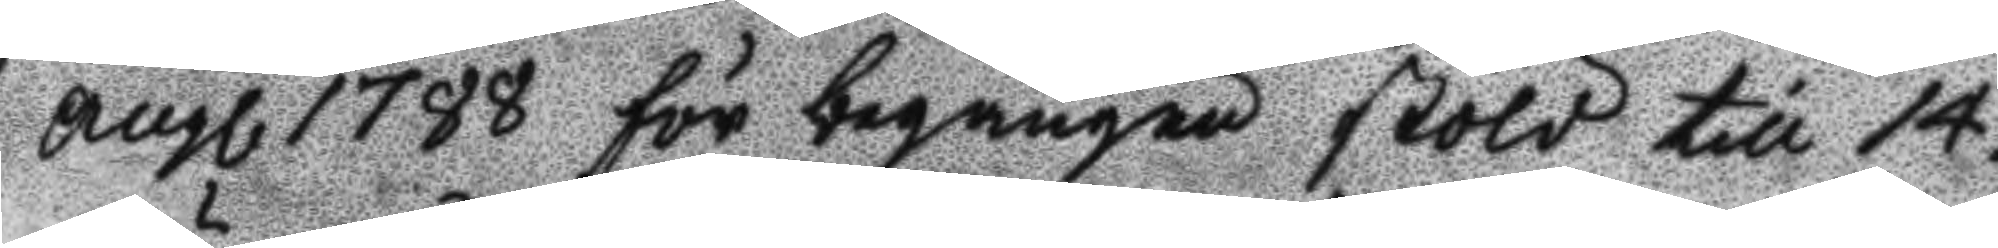aug 1788 för begången stöld till 14.
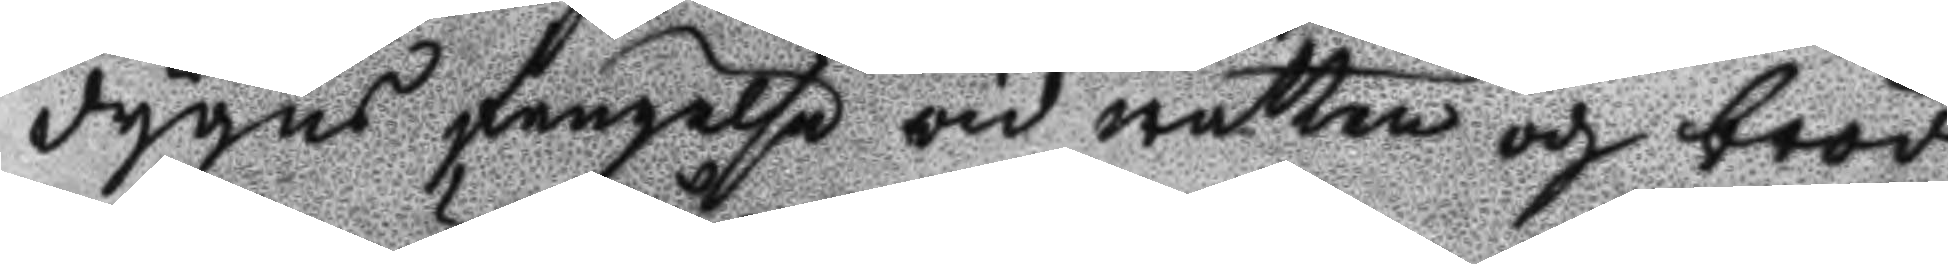dygns fängelse wid watten och bröd,
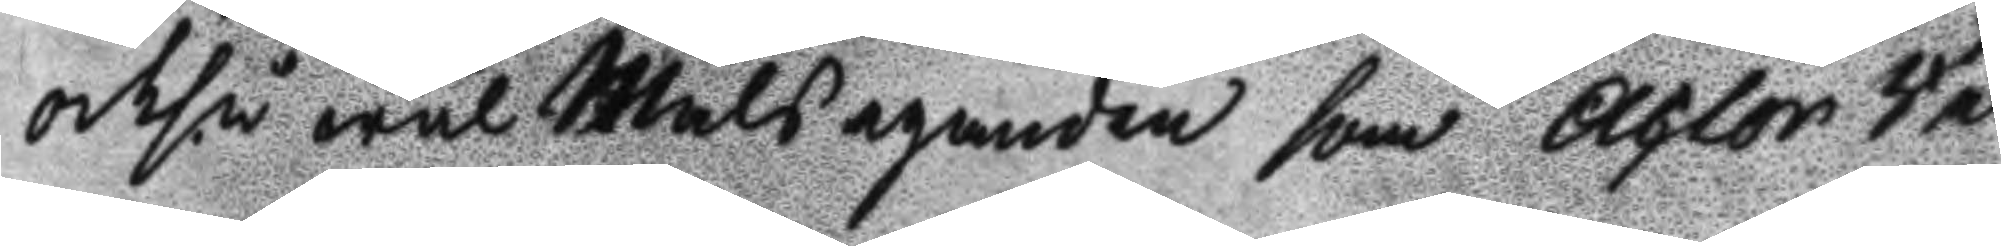ochså wäl Målseganden som Actor Re¬
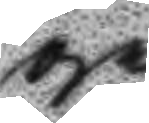ge
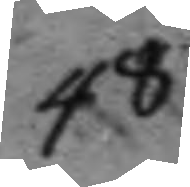48.
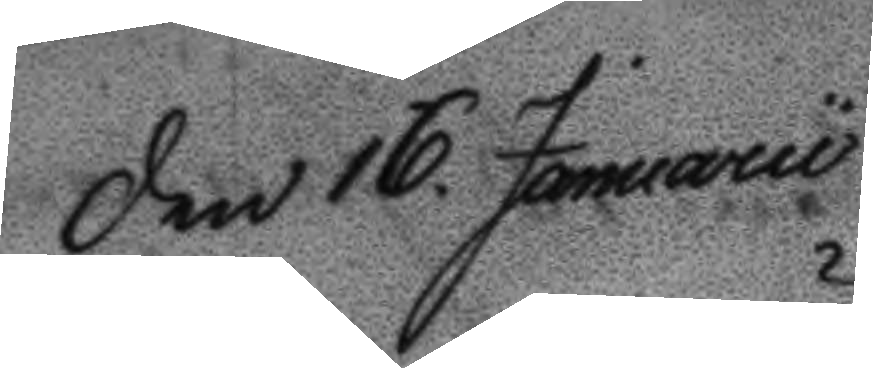Den 16 Januarii
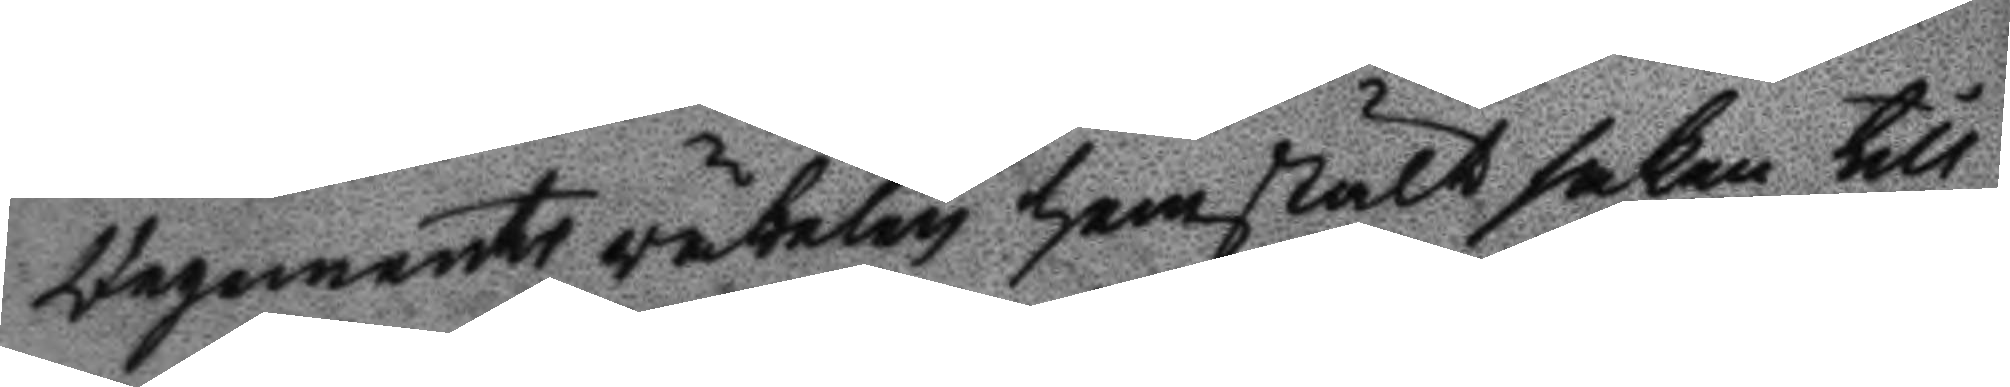Regemnets väbelen hemstält saken till
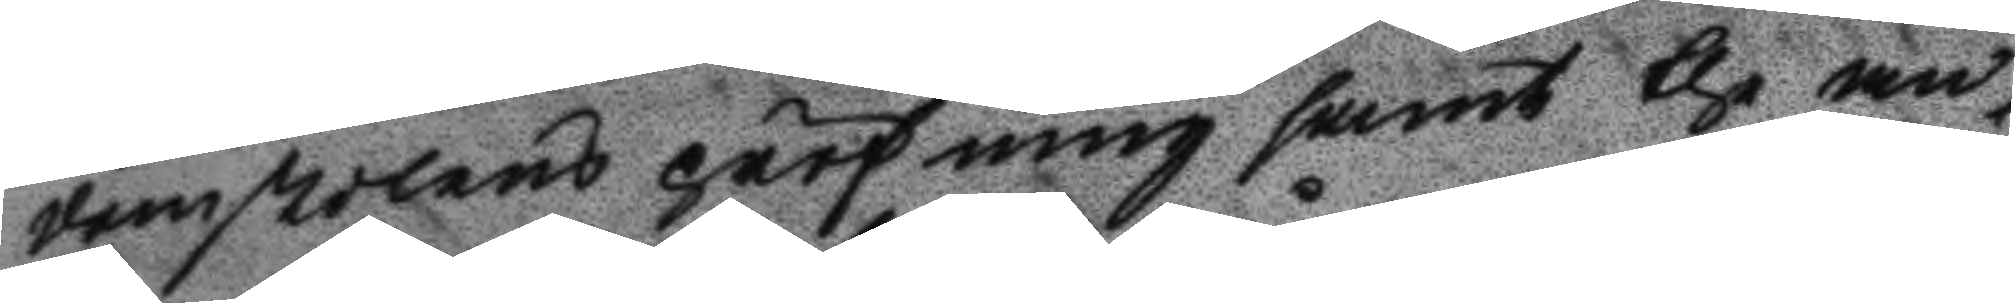domstolens pröfning samt the an¬
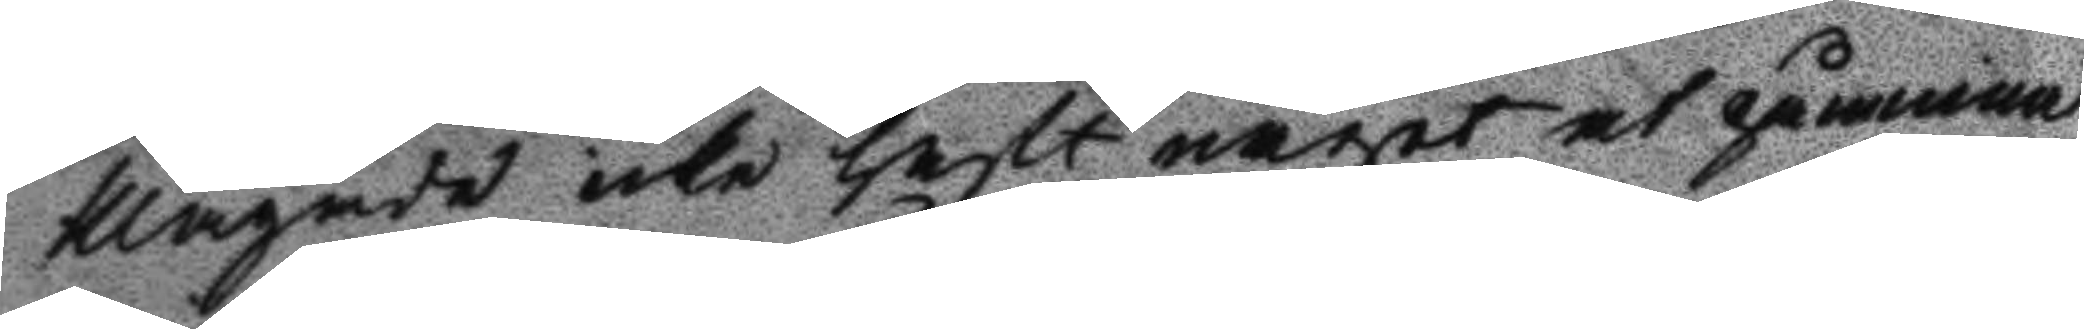klagade icke haft något at påminna
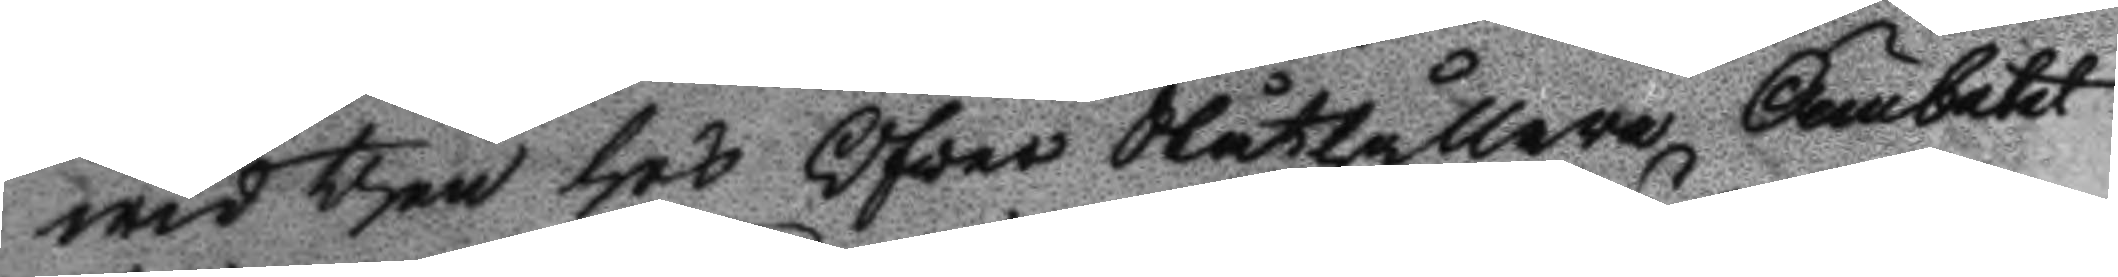wid thrn hos Öfwer Ståthållare Ämbetet
